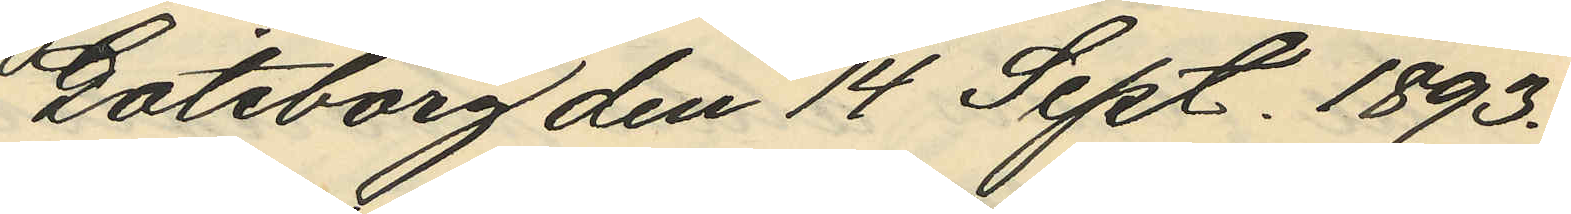Göteborg den 14 Sept. 1893.
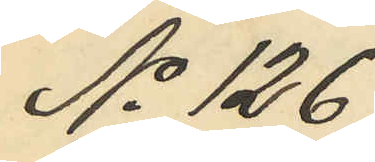No 126
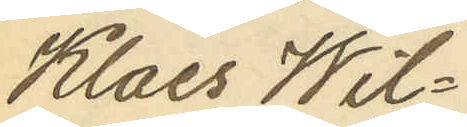Klaes Wil¬
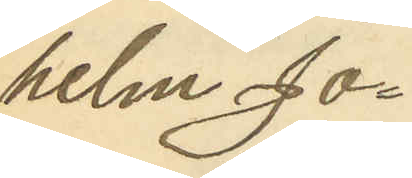helm Jo¬
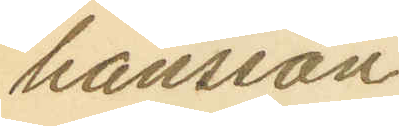hansson
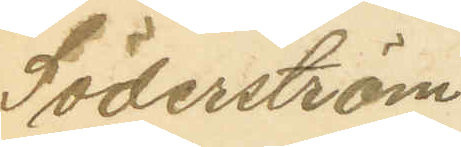Söderström
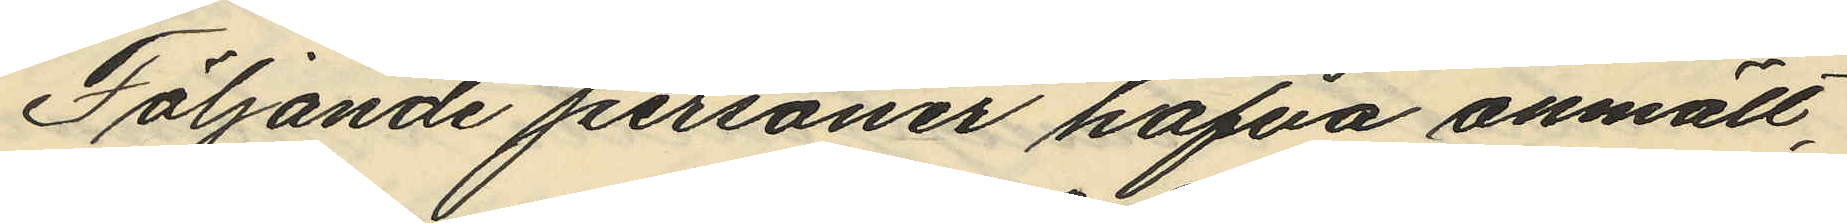Följande personer hafva anmält,
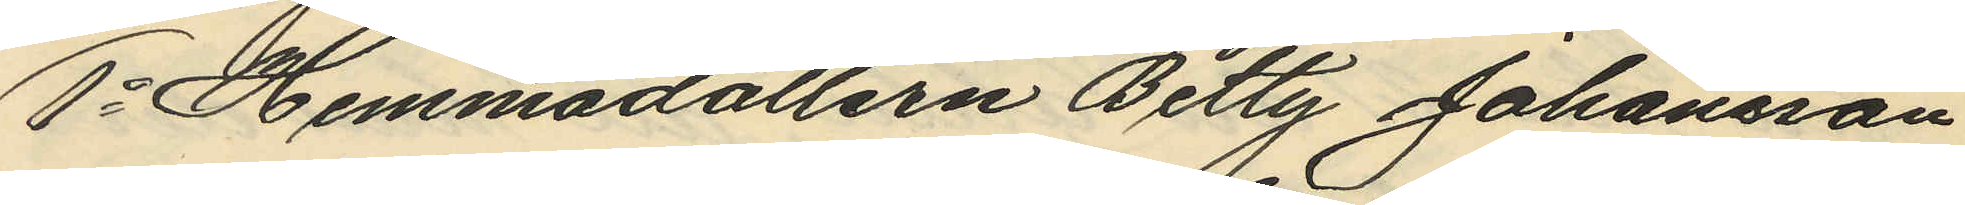1o Hemmadottern Betty Johansson
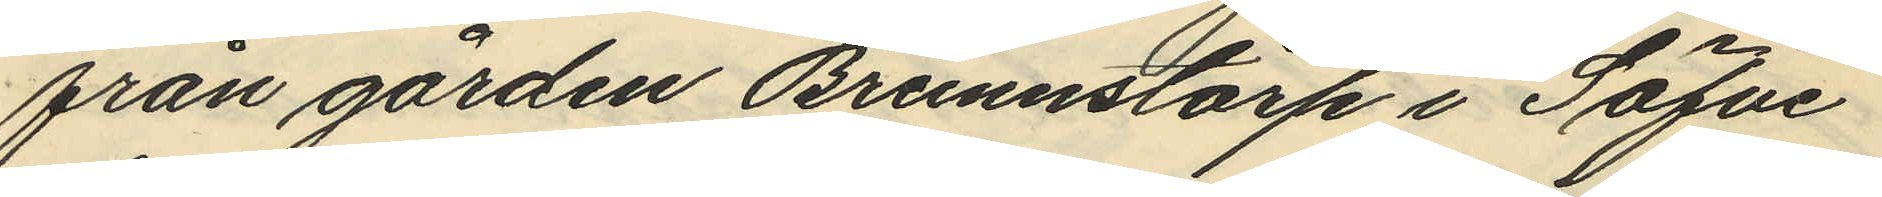från gården Brunnstorp i Säfve
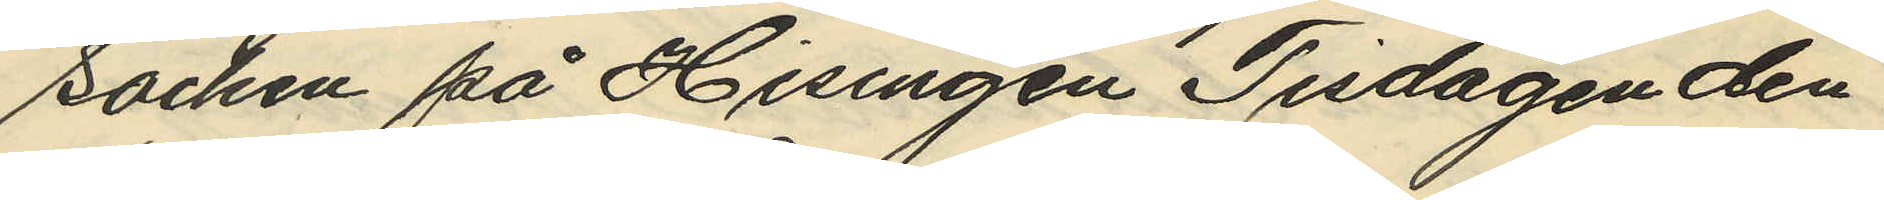socken på Hisingen Tisdagen den
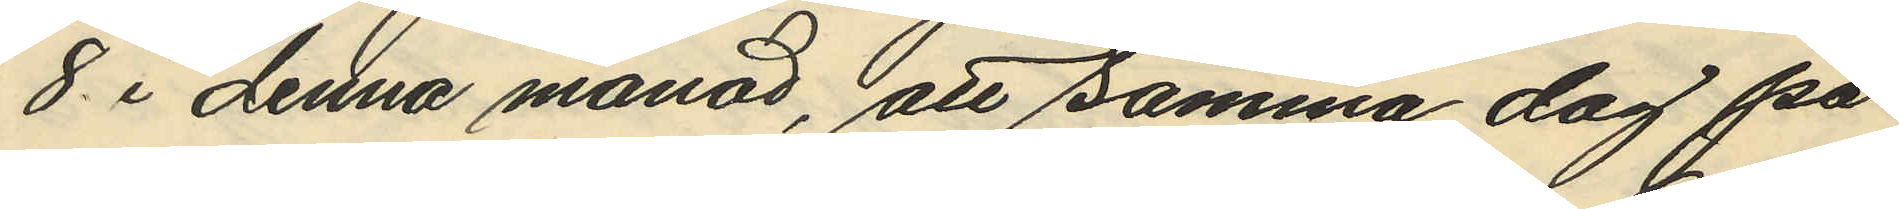8 i denna månad, att samma dag på
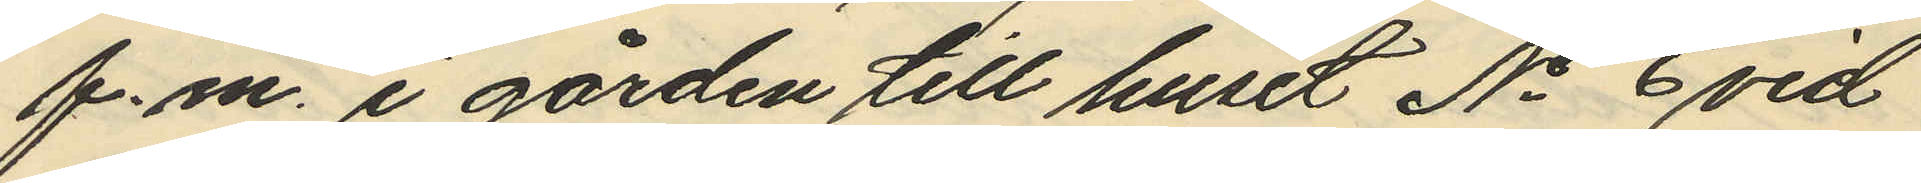f.m. i gården till huset No 3 vid
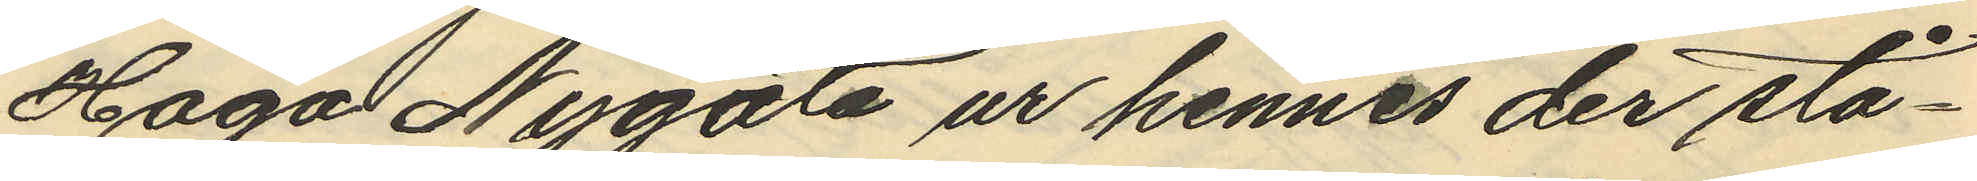Haga Nygata ur hennes der stå¬
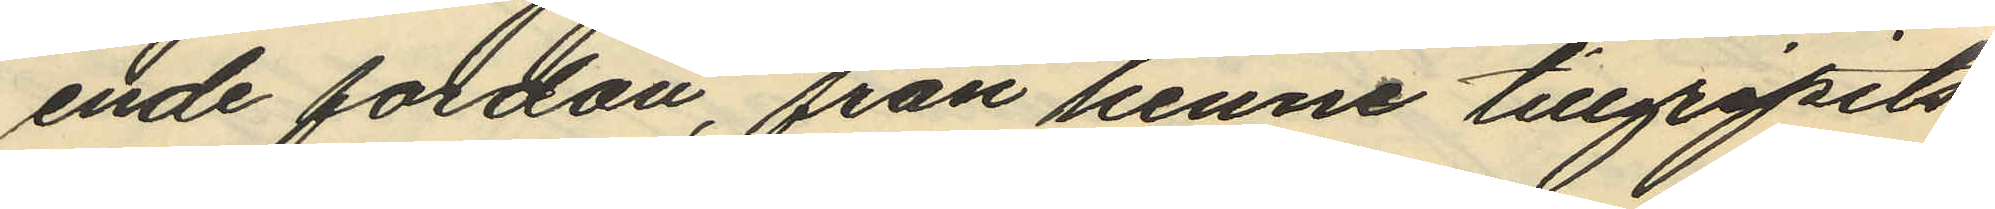ende fordon, från henne tillgripits
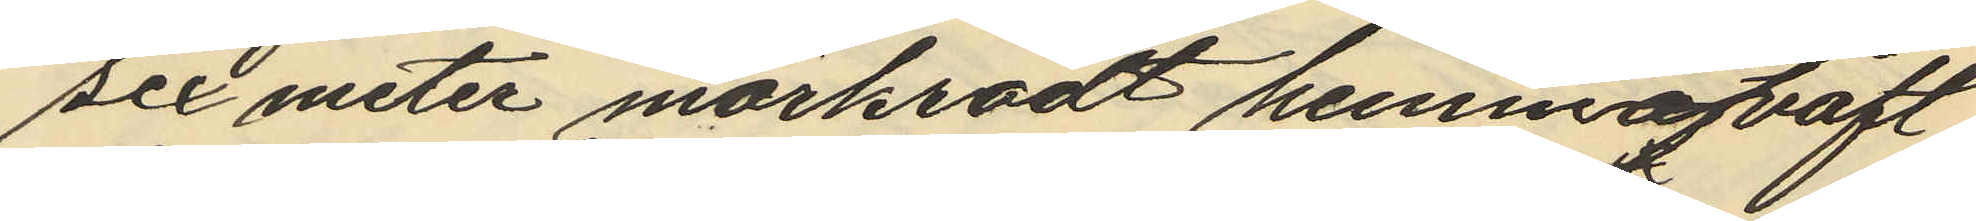sex meter mörkrödt hemmaväft
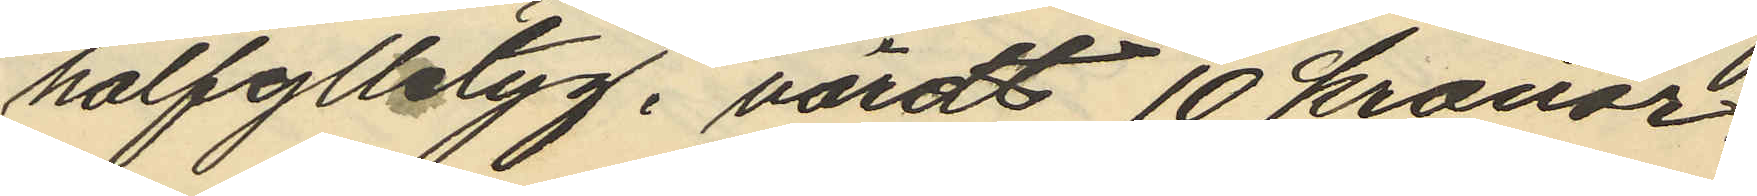halfylletyg, värdt 10 kronor.
